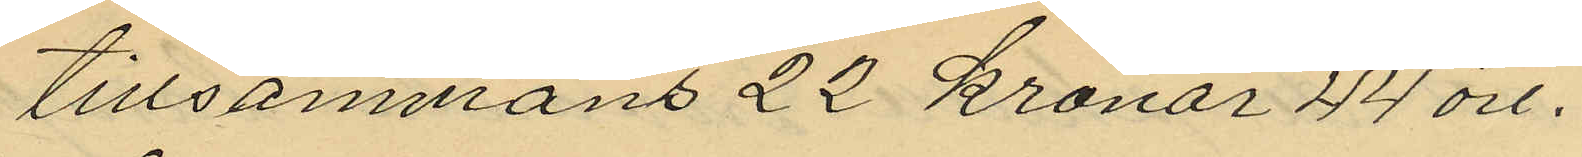tillsammans 22 kronor 44 öre.
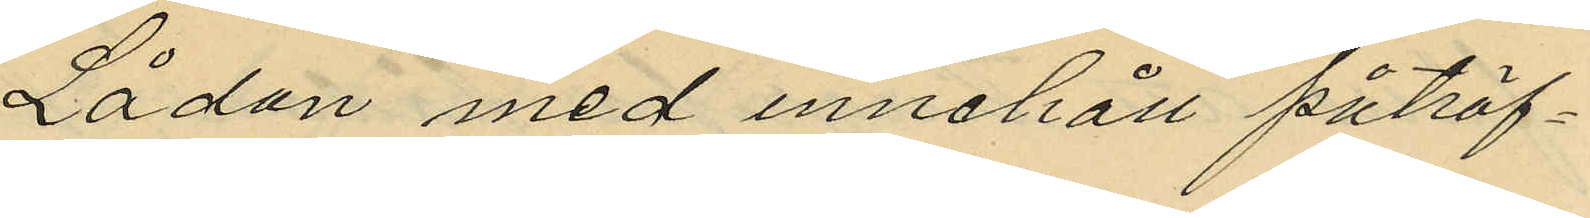Lådan med innehåll påträf¬
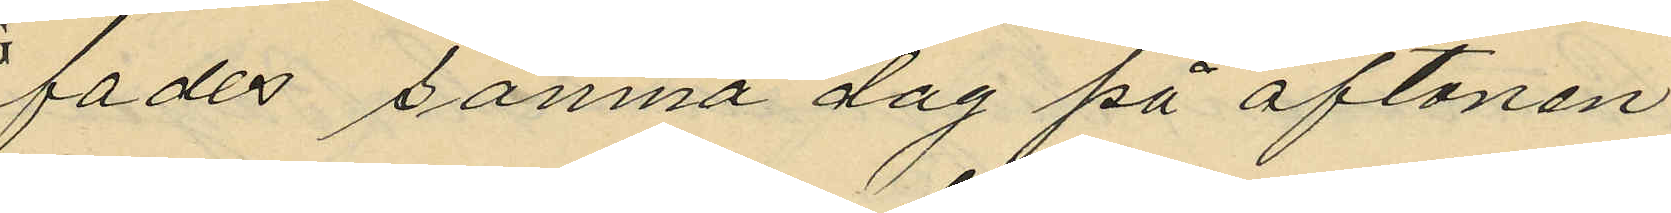fades samna dag på aftonen
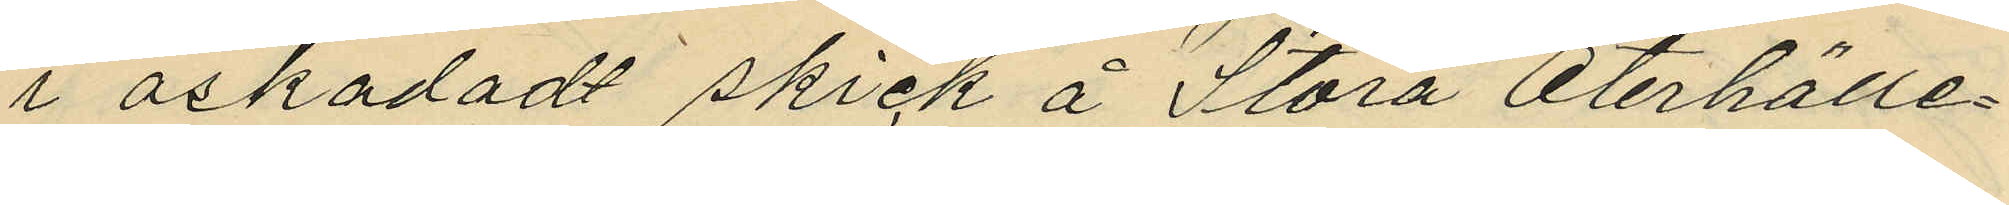i oskadadt skick å Stora Oterhälle¬
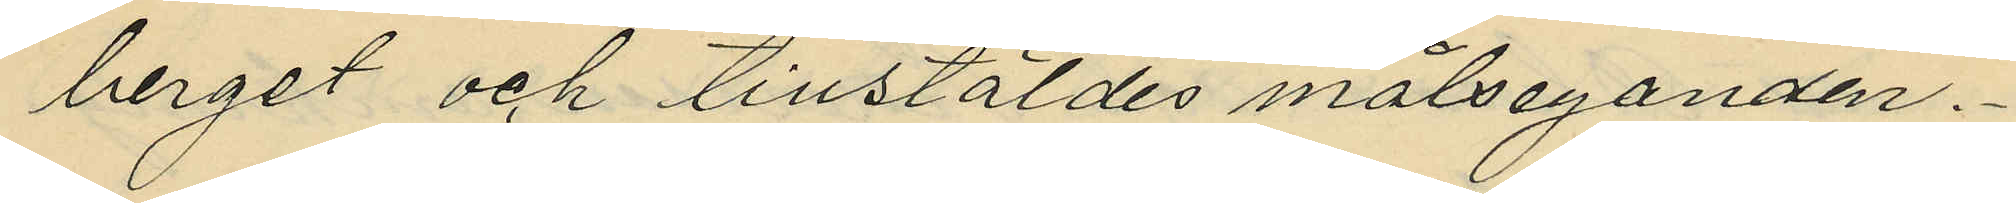berget och tillstäldes målseganden.
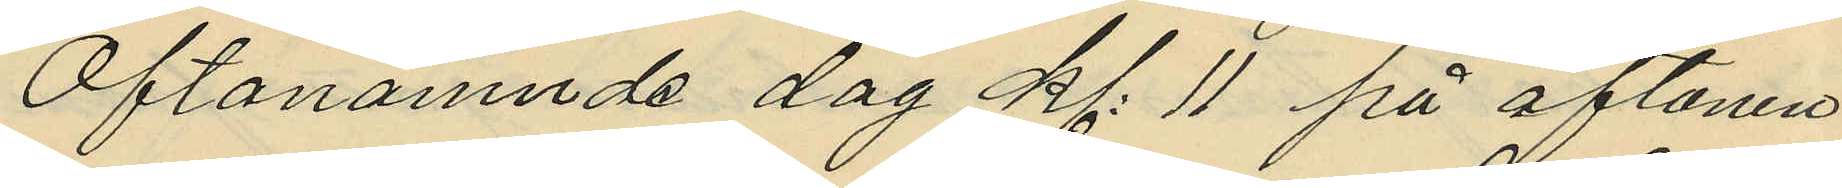Oftanämnde dag kl. 11 på aftonen
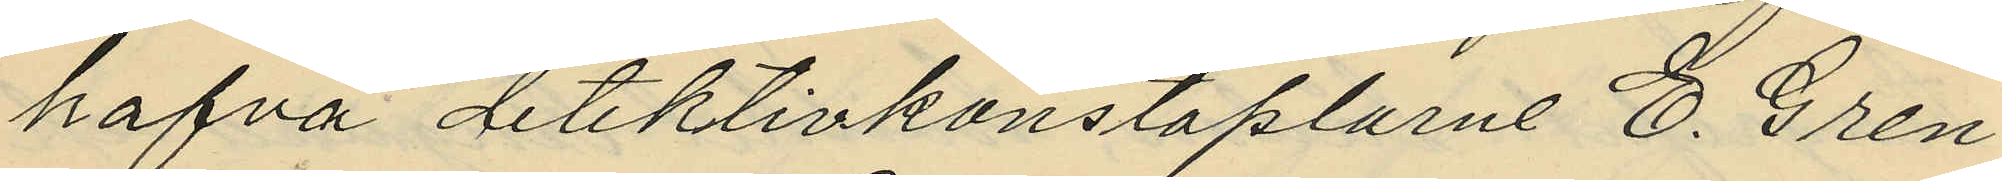hafva detektivkonstaplarne E. Gren
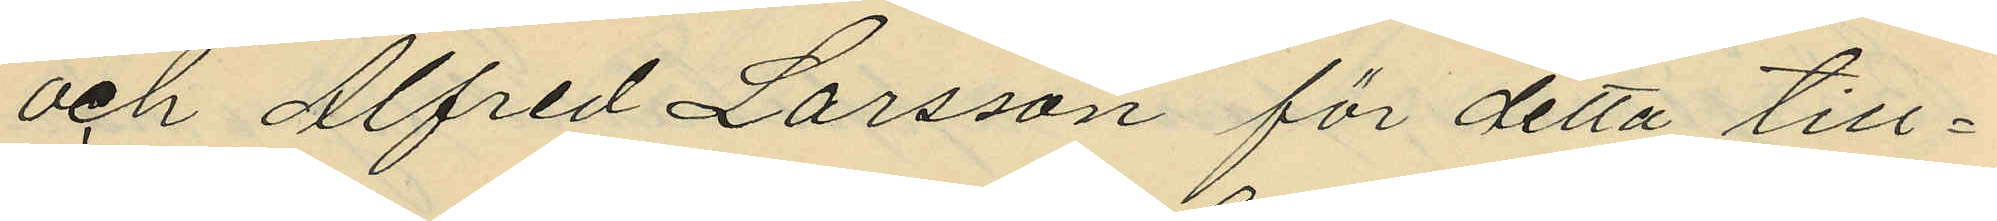och Alfred Larsson för detta till¬
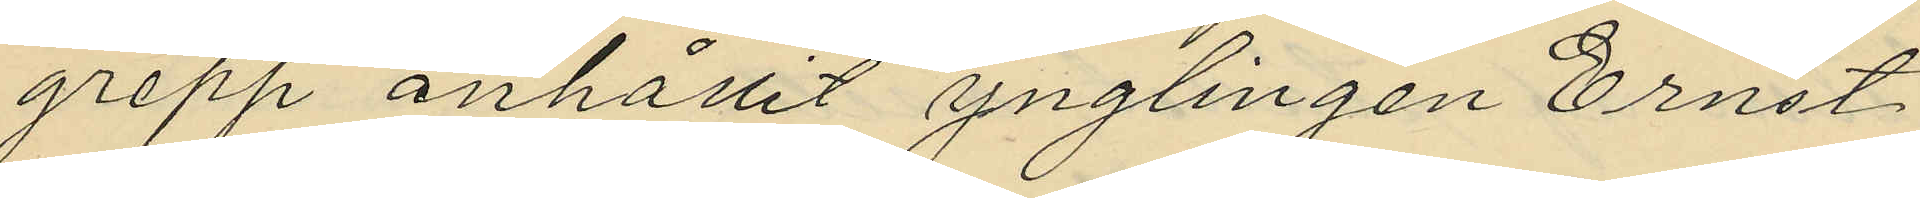grepp anhållit ynglingen Ernst
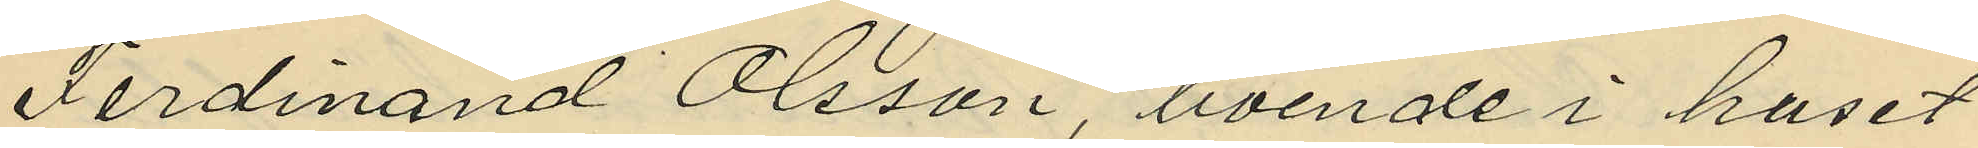Ferdinand Olsson, boende i huset
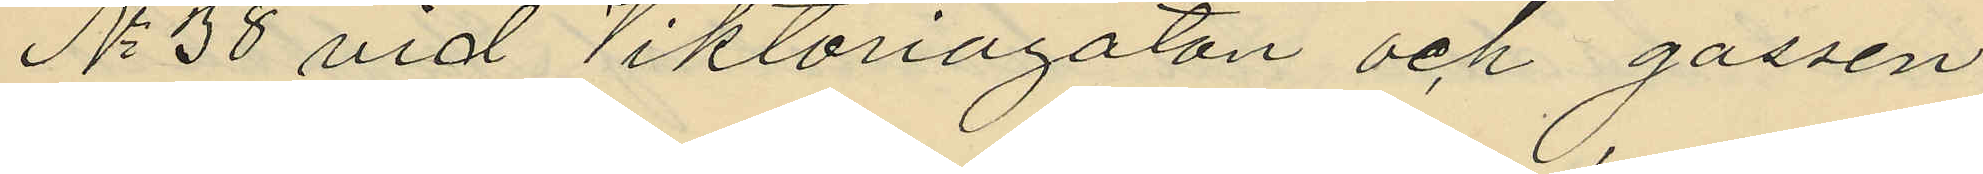No 38 vid Viktoriagatan och gossen
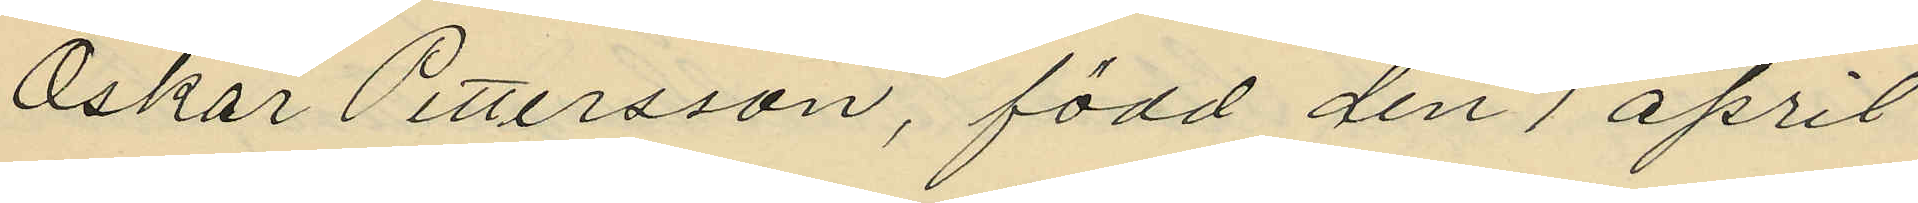Oskar Pettersson, född den 1 april
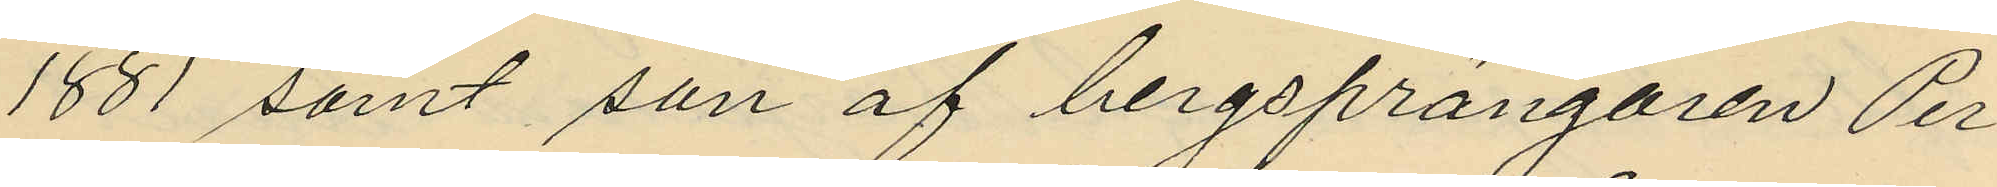1881 samt son af bergsprängaren Per
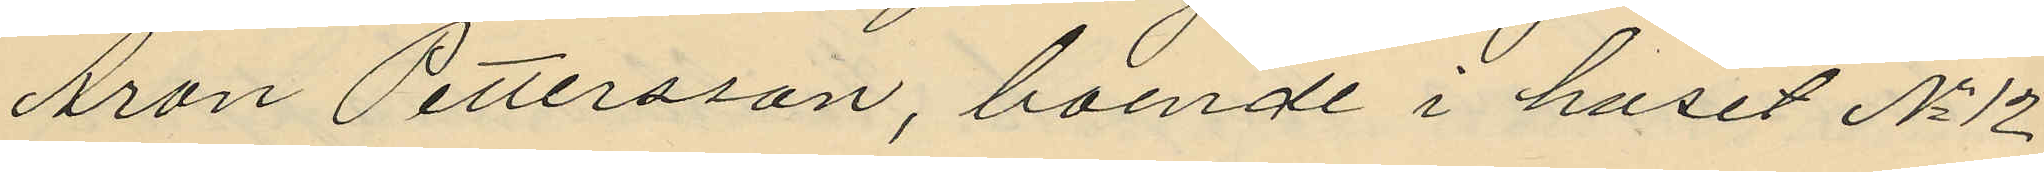Aron Pettersson, boende i huset No 12
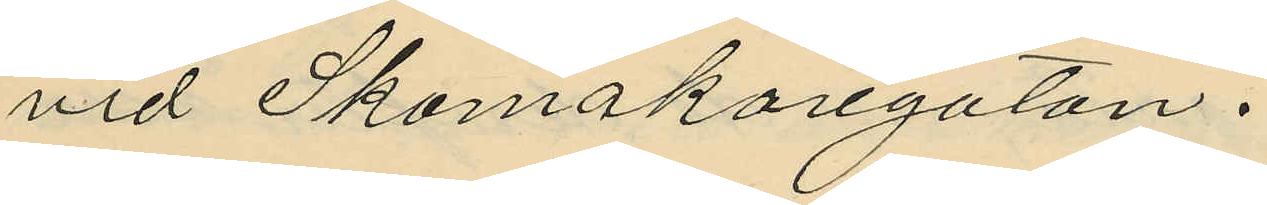vid Skomakaregatan.
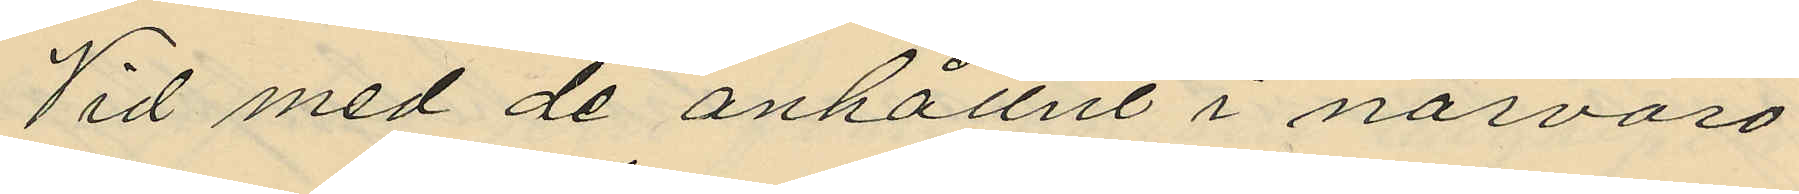Vid med de anhållne i närvaro
